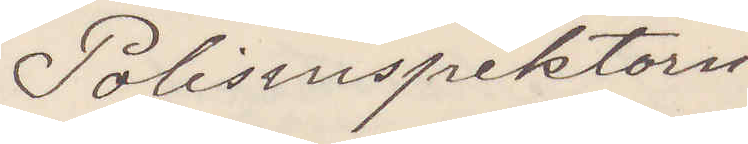Polisinspektorn
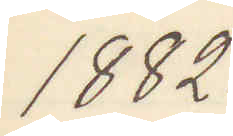1882.
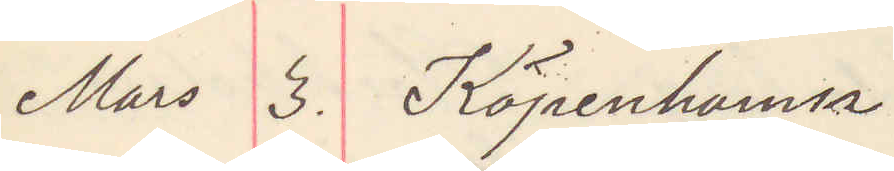Mars 3. Köpenhamn
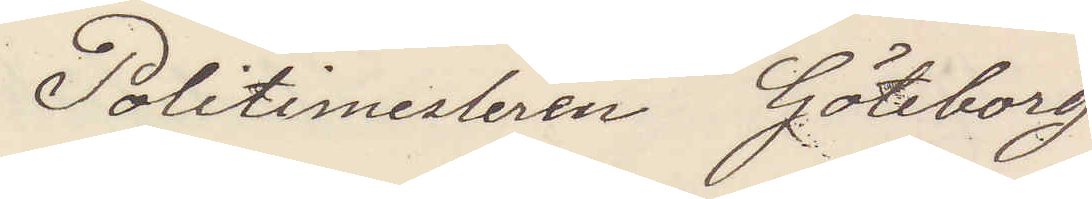Politimesteren Göteborg
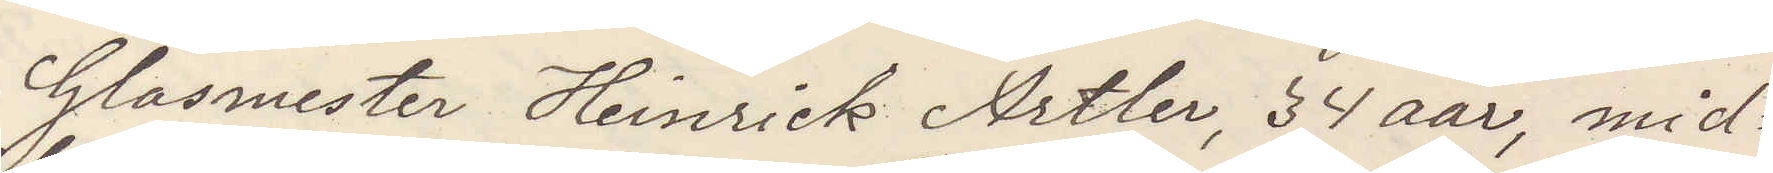Glasmester Heinrick Artler, 34 aar, mid¬
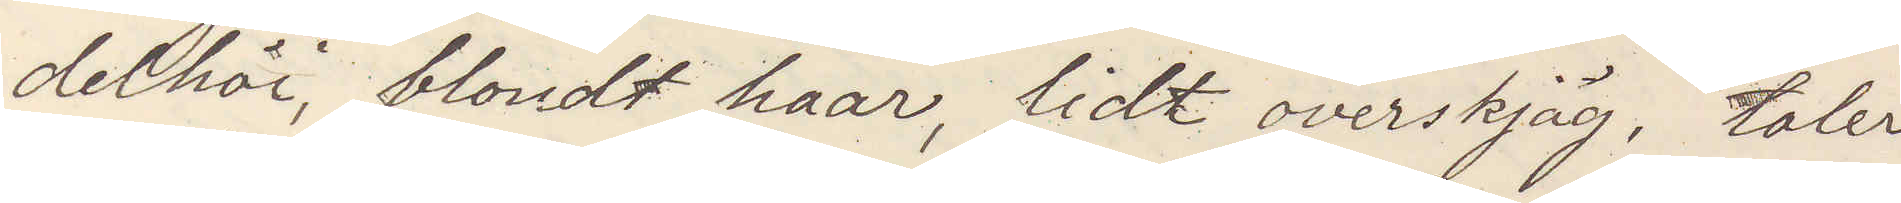delhöi, blondt haar, lidt overskjäg, taler
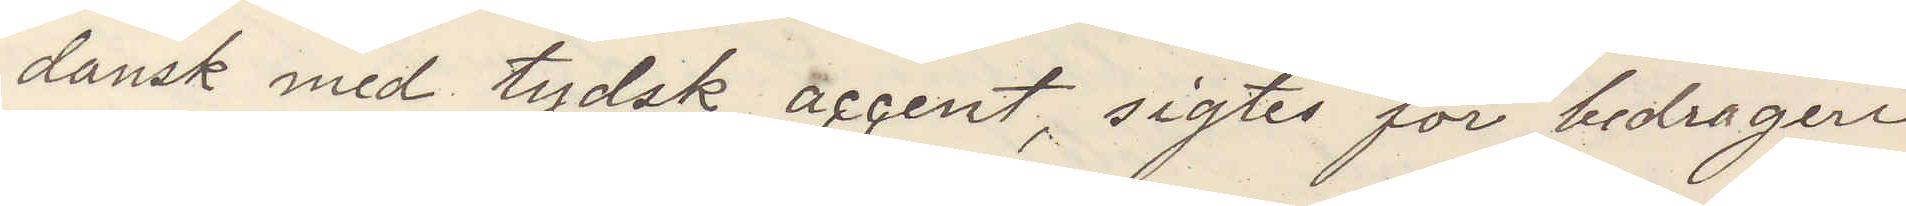dansk med tydsk accent, sigtes for bedrageri
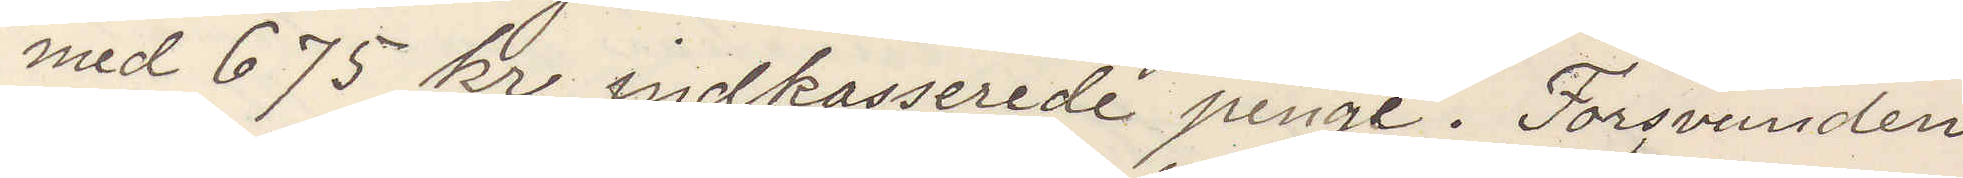med 675 kr inkasserade penge. Forsvunden
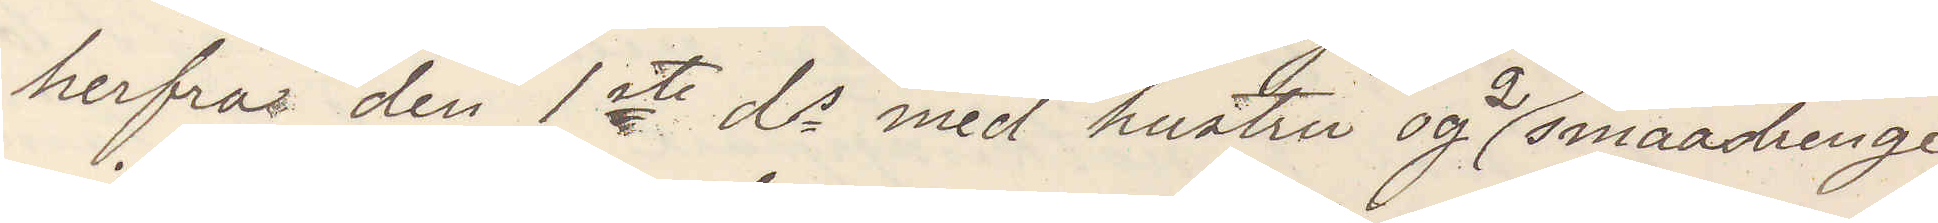herfra den 1ste ds med hustru og 2 smaadrenge
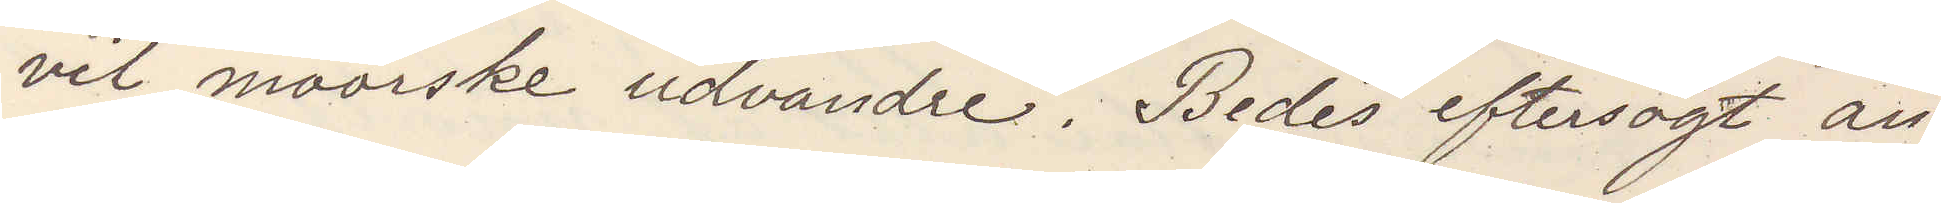vil moorske udvandre. Bedes eftersögt an¬
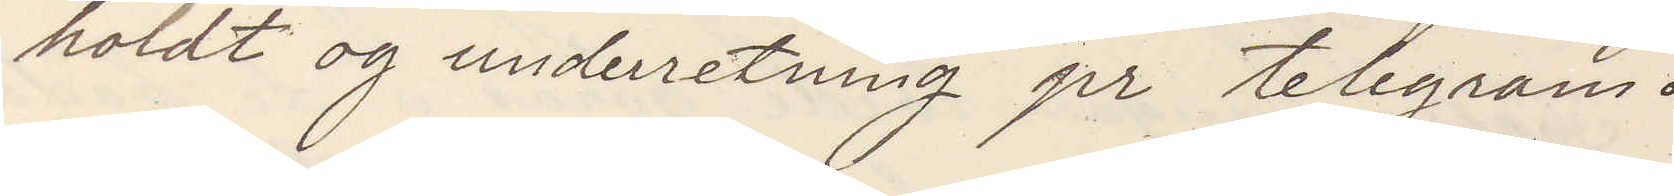holdt och underretning pr telegram.
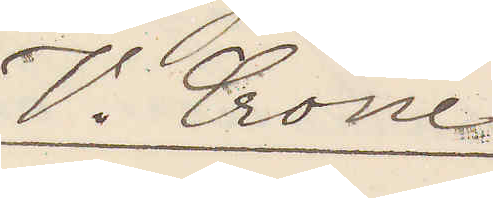V. Crone
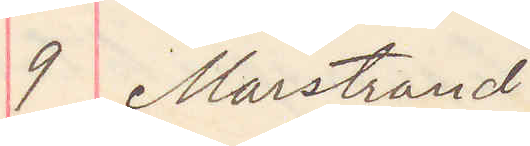9 Marstrand
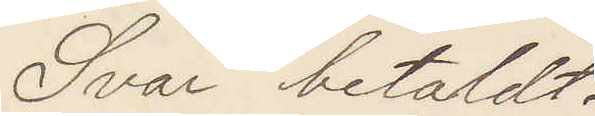Svar Betaldt.
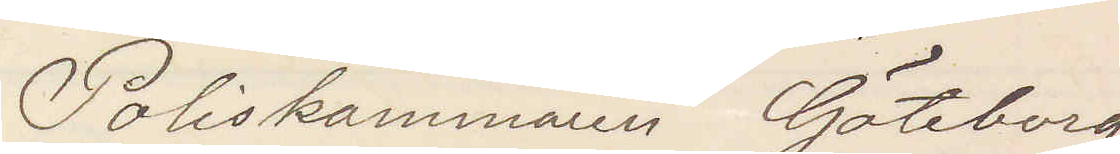Poliskammaren Göteborg
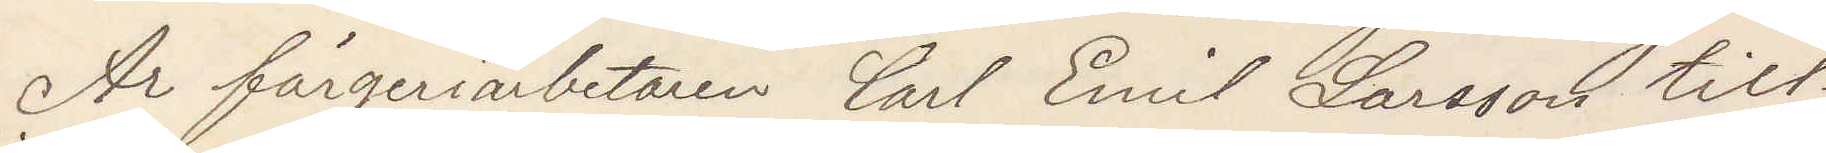Är färgeriarbetaren Carl Emil Larsson till¬
